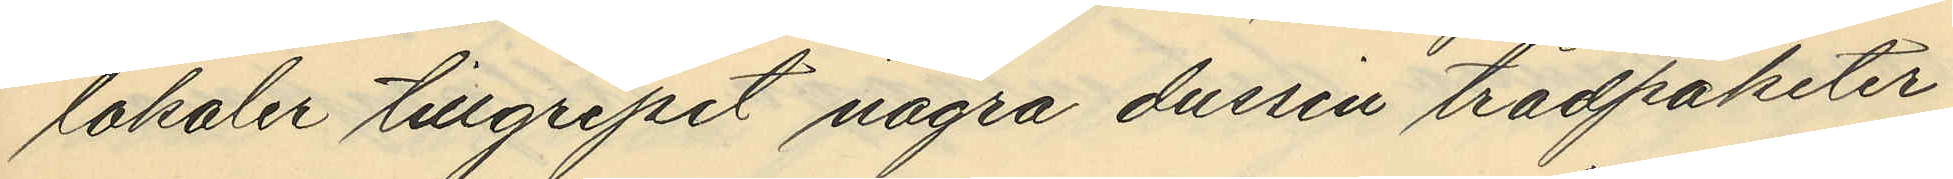lokaler tillgripit några dussin trådpaketer
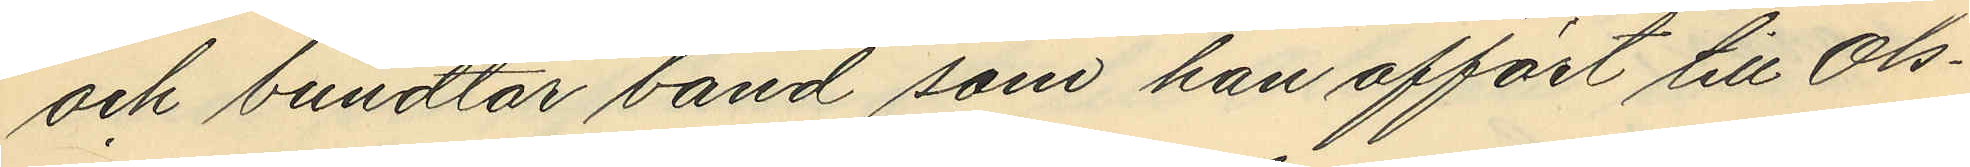och bundtar band som han affört till Ols¬
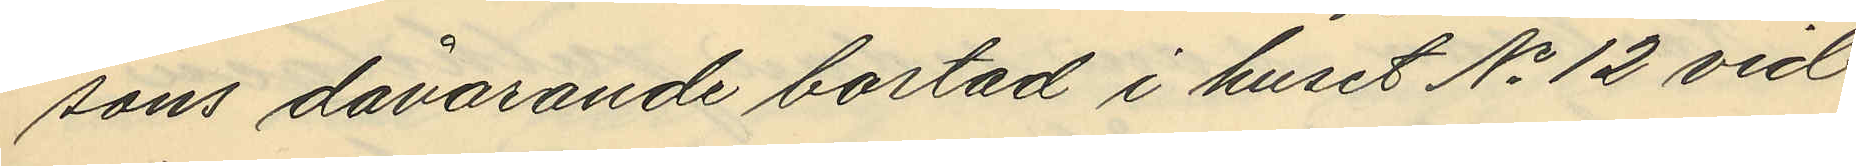sons dåvarande bostad i huset No 12 vid
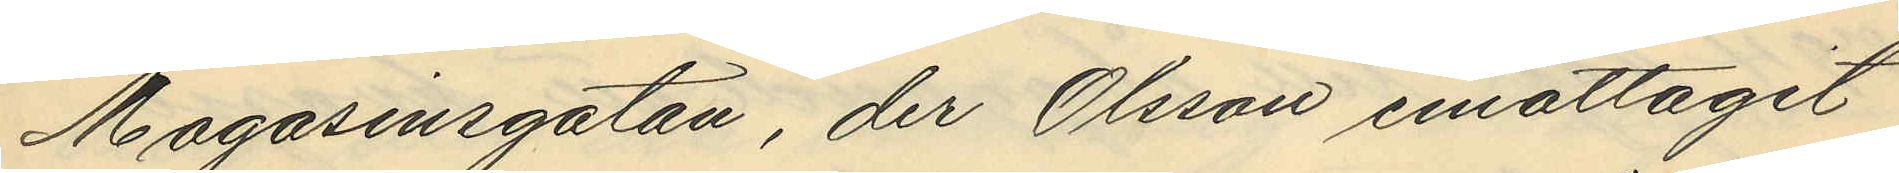Magasinsgatan, der Olsson emottagit
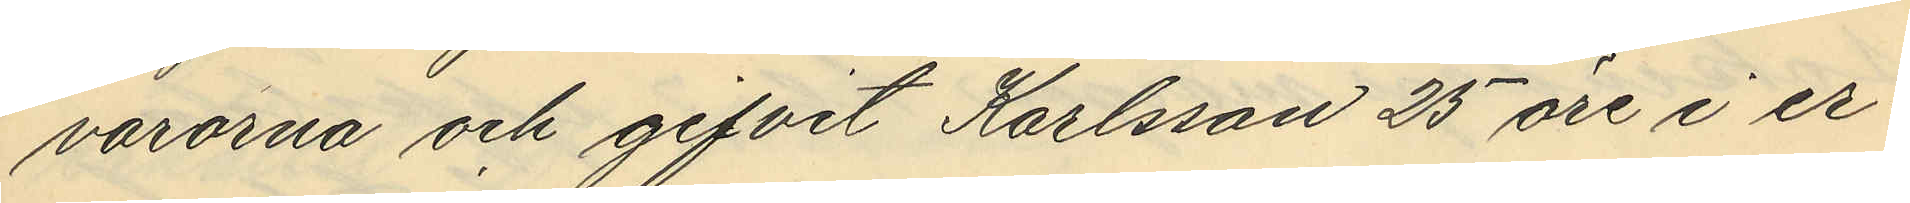varorna och gifvit Karlsson 25 öre i er¬
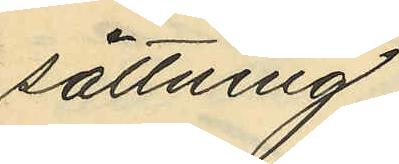sättning;
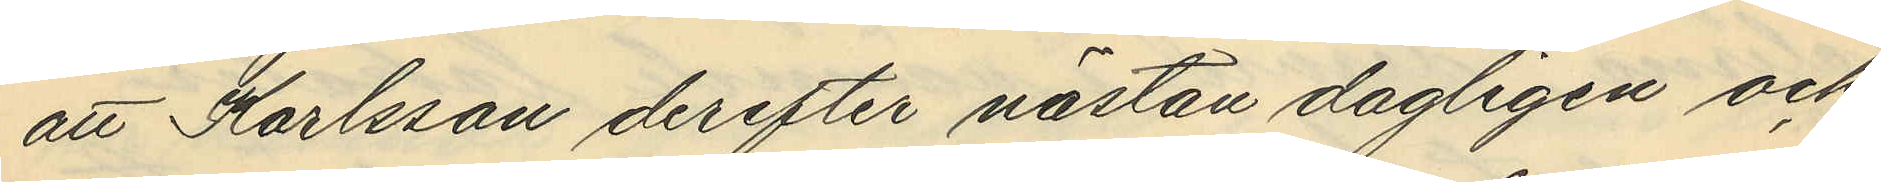att Karlsson derefter nästan dagligen och
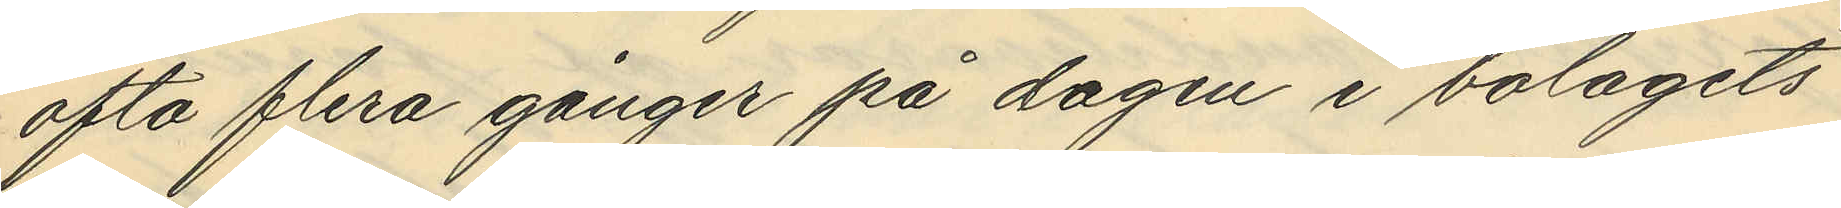ofta flera gånger på dagen i bolagets
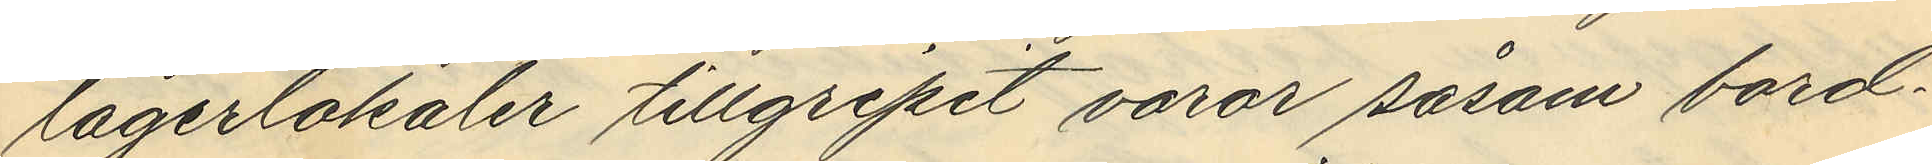lagerlokaler tillgripit varor såsom bord¬
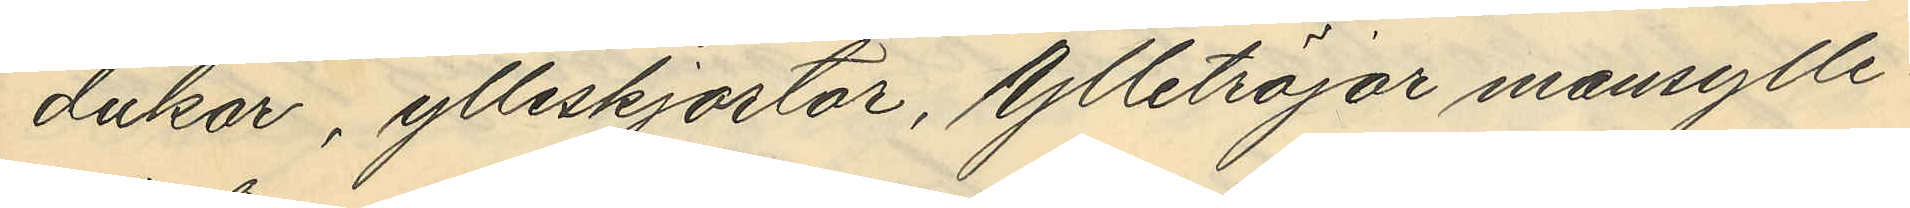dukar, ylleskjortor, Ylletröjar mansylle¬
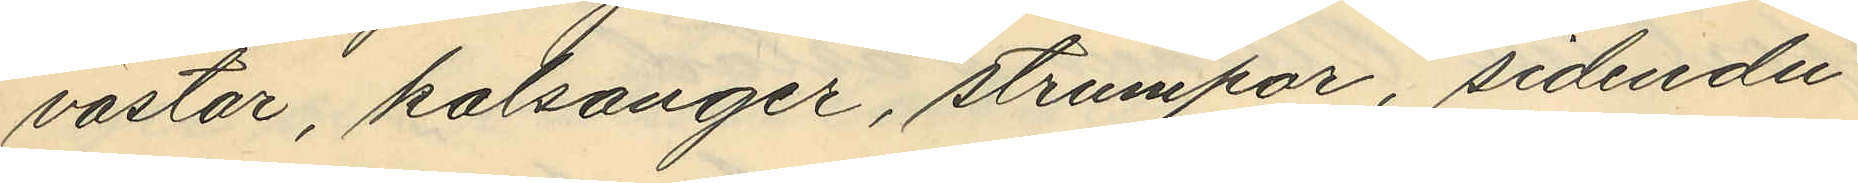västar, kalsonger, strumpor, sidendu¬
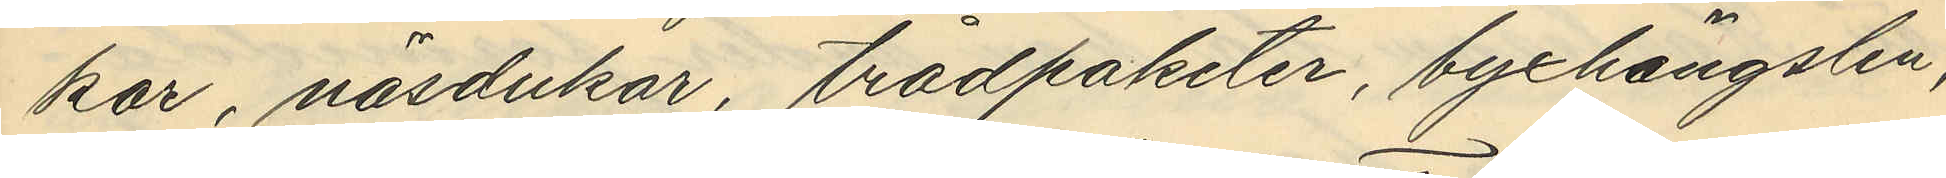kar, näsdukar, trådpaketer, byxhängslen,
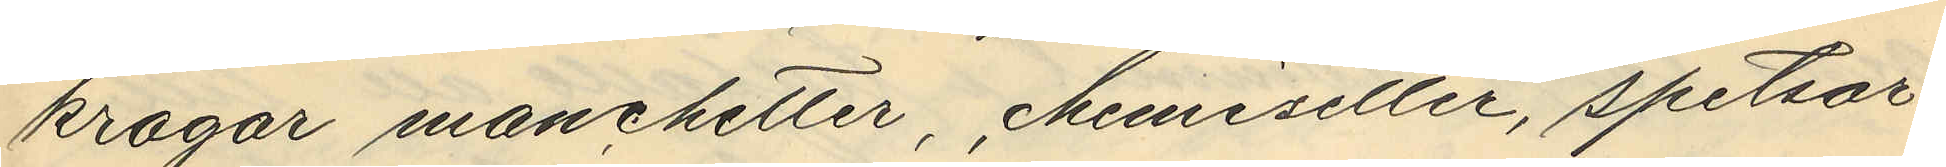kragar manchetter, chemiseller, spetsar,
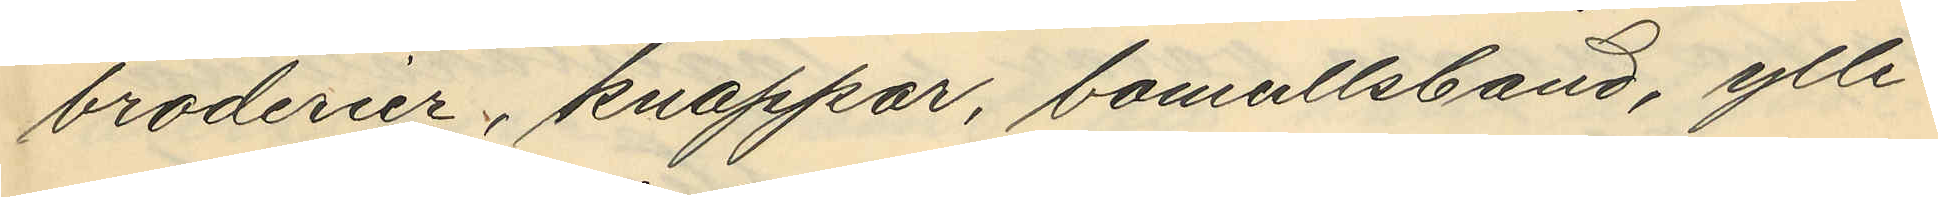broderier, knappar, bomullsband, ylle¬
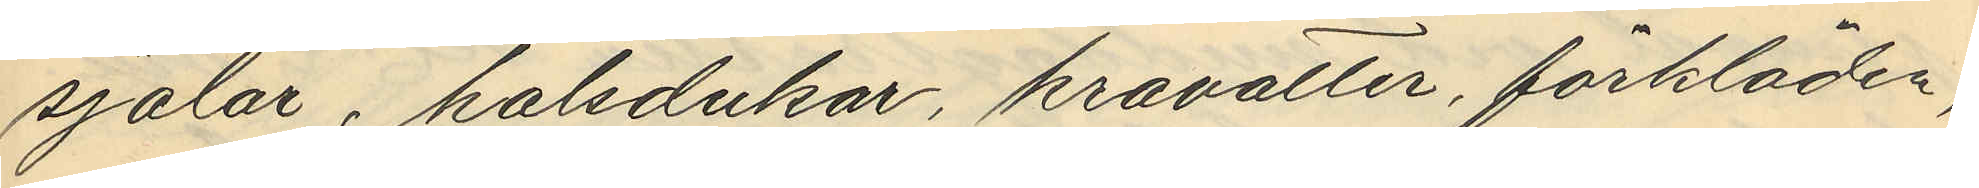sjalar, halsdukar, kravatter, förkläden,
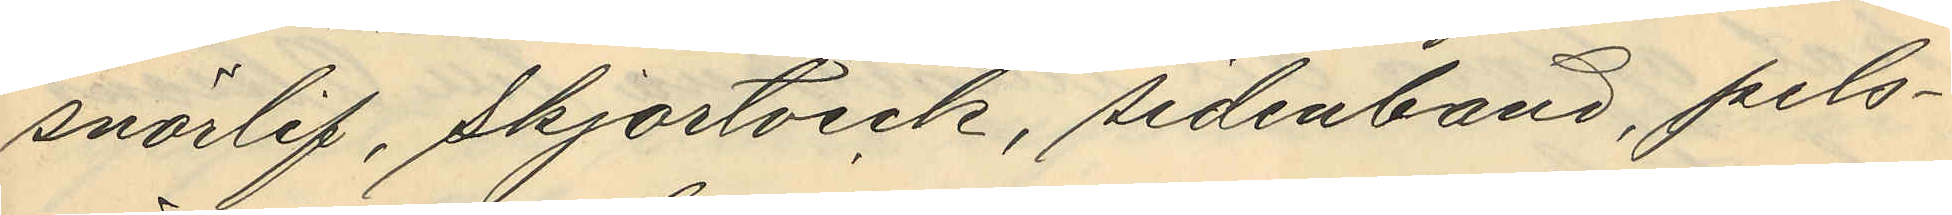snörlif, skjortveck, sidenband, pels¬
